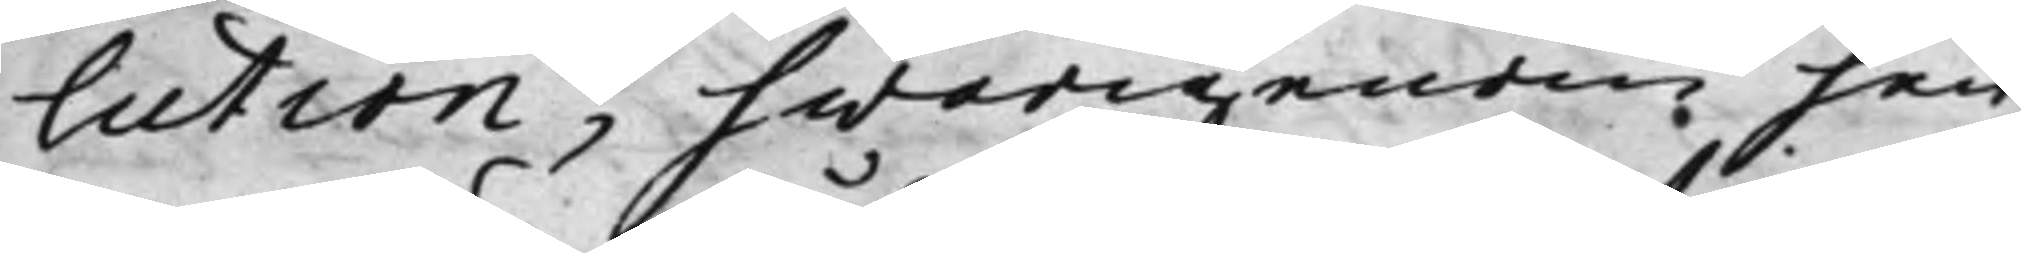lution, hwarigenom hen¬
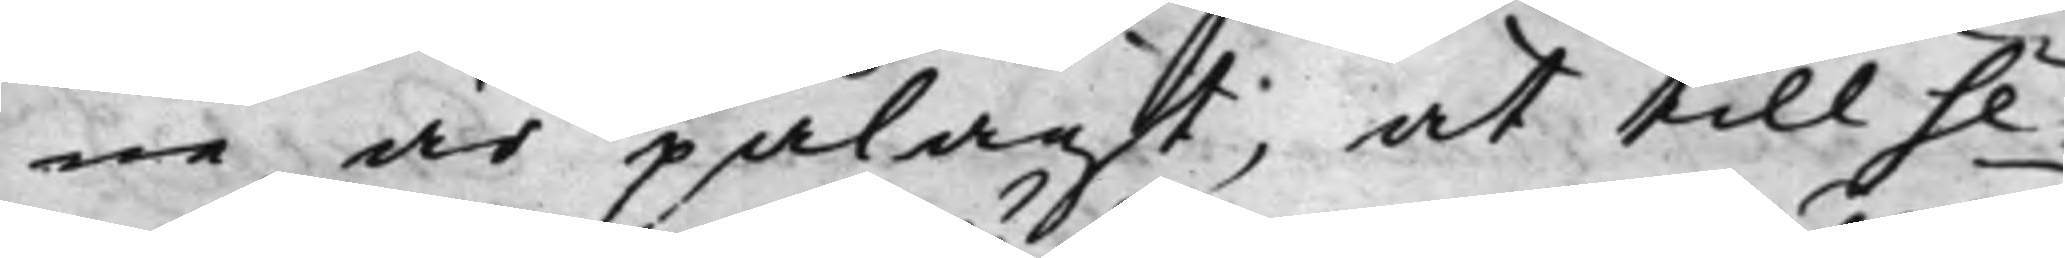ne är pålagt; at till Se¬
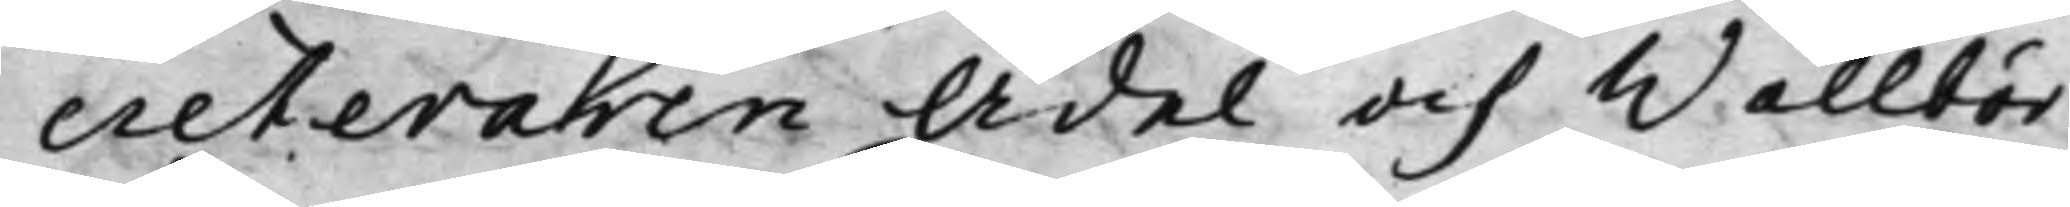creteraren Ädel och Wälbör¬
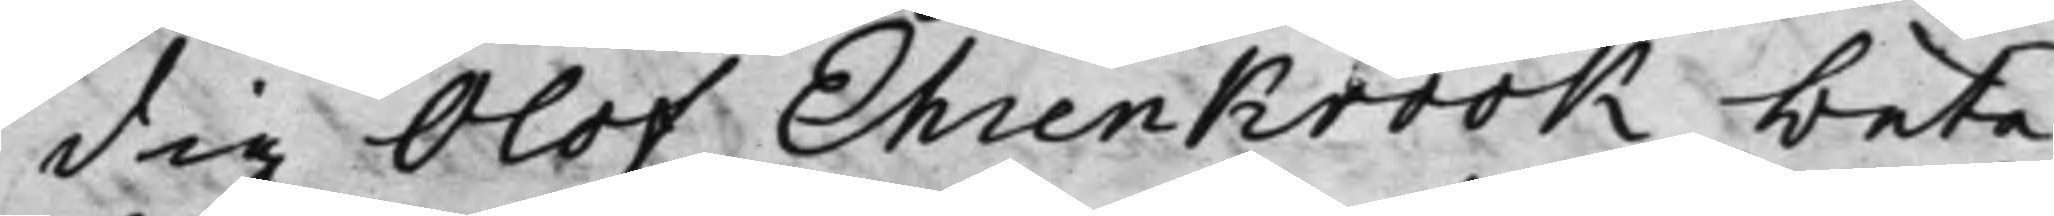dig Olof Ehrenkrook, beta¬
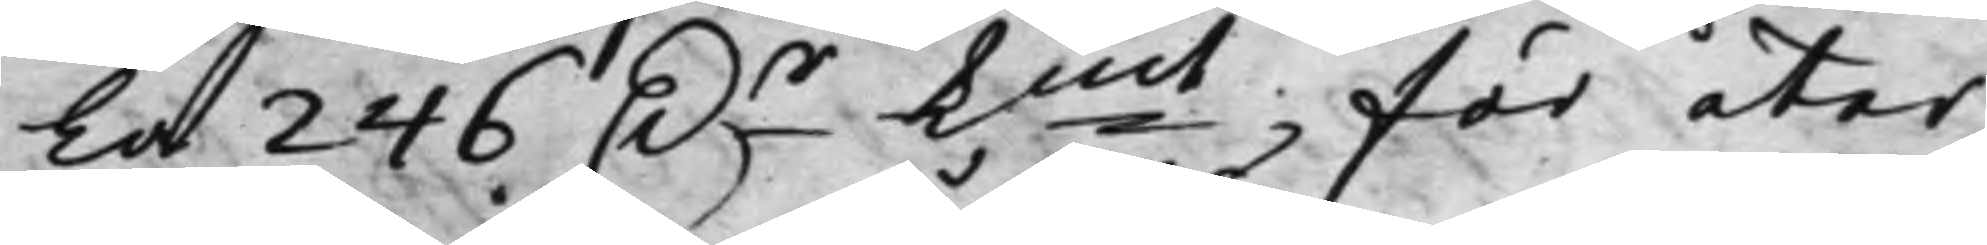la 246 D.r Kmt för åter¬
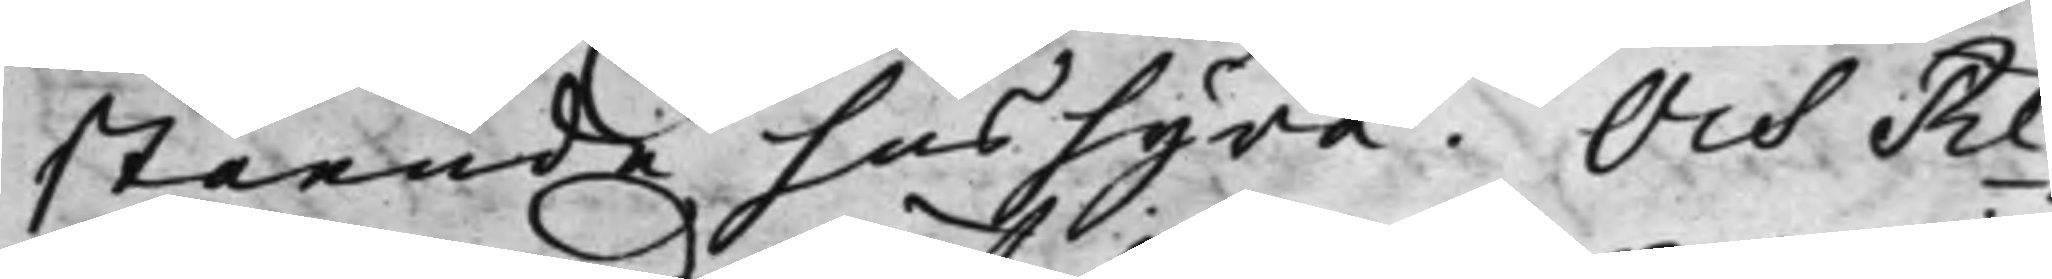stående hushyra. Och Re¬
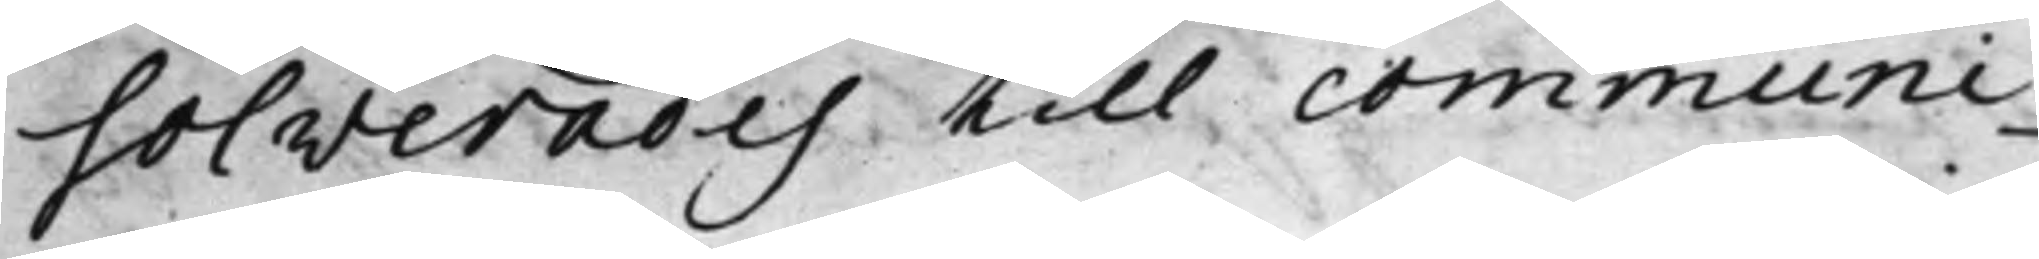solverades till communi¬
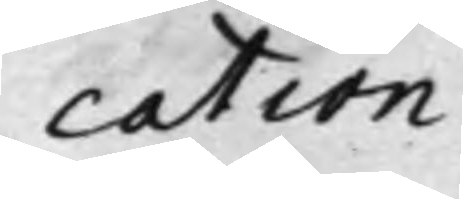cation
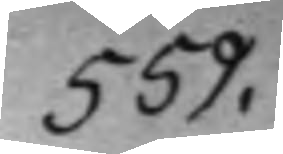559.
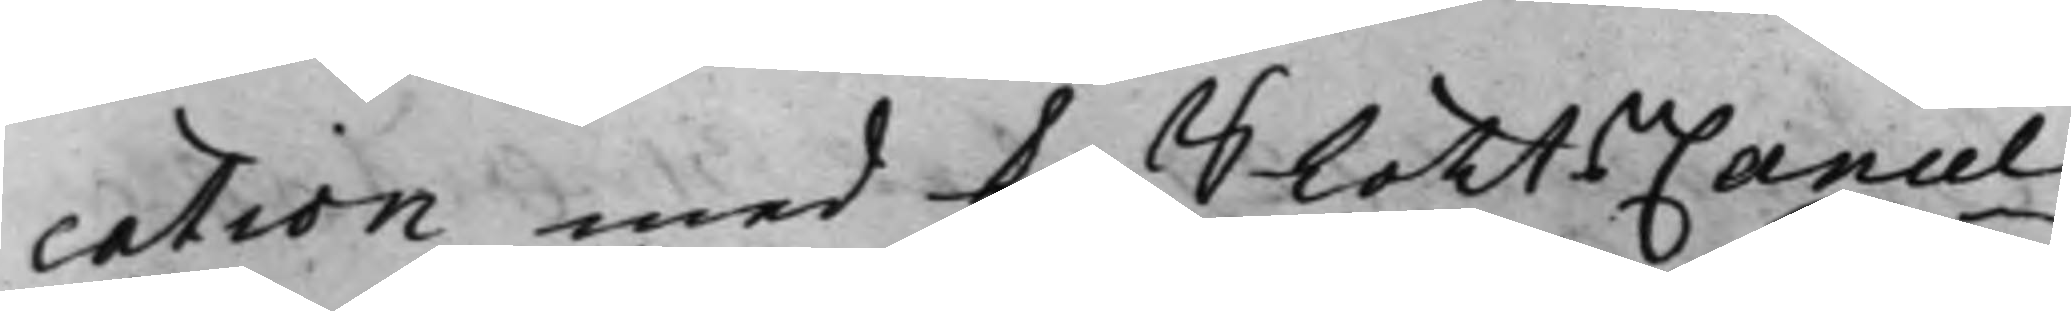cation med K. SlottsCancel¬
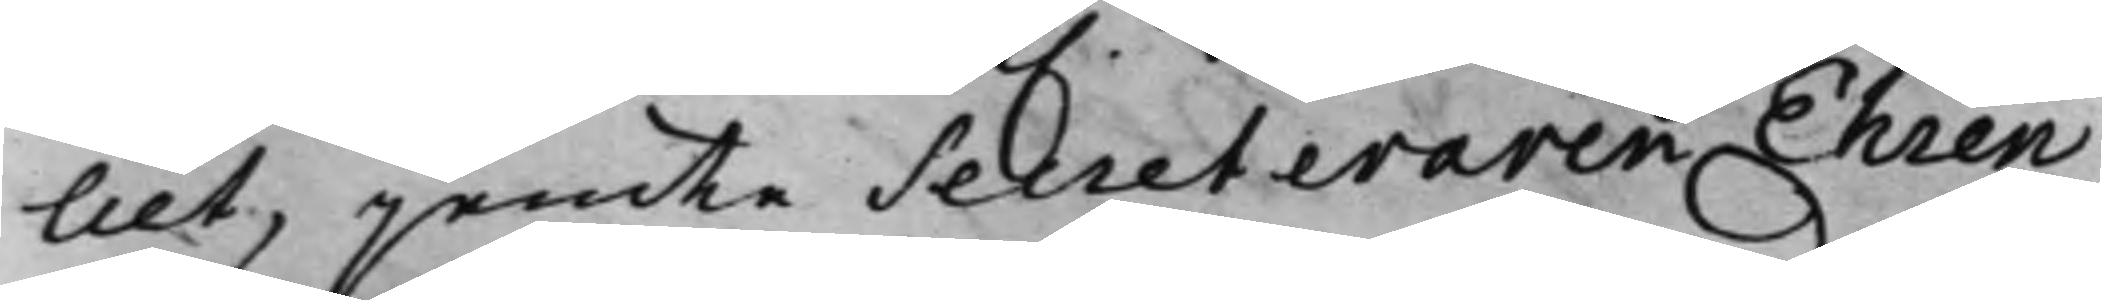liet, jemte Secreteraren Ehren¬
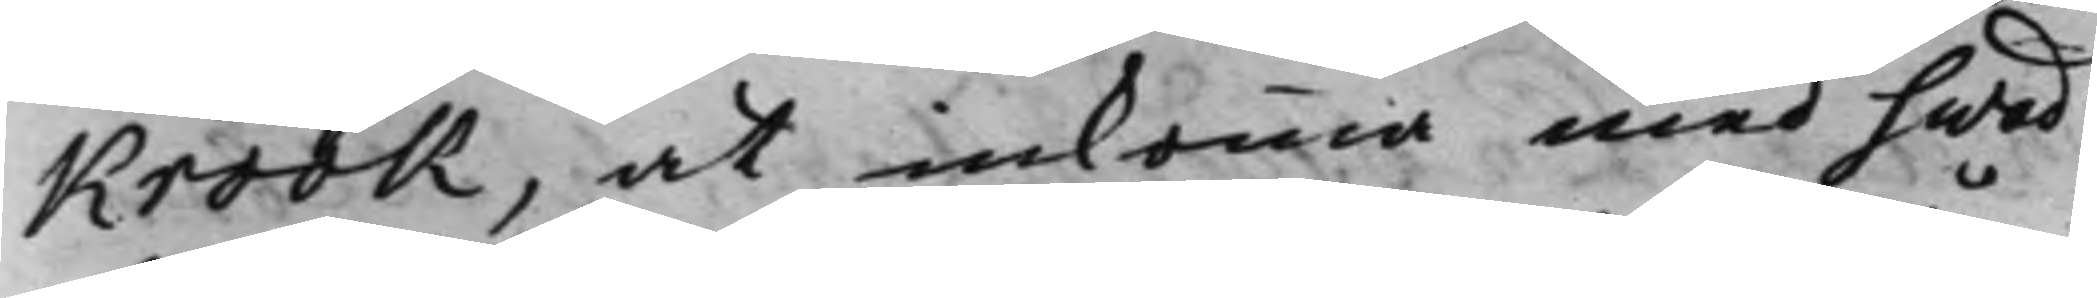Krook, at inkomma med hwad
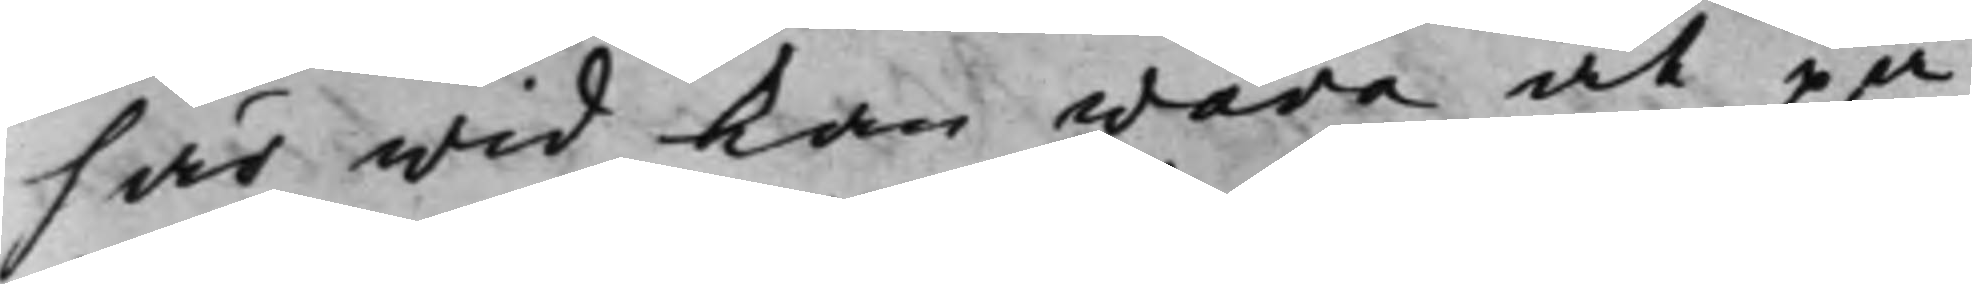här wid kan wara at på¬
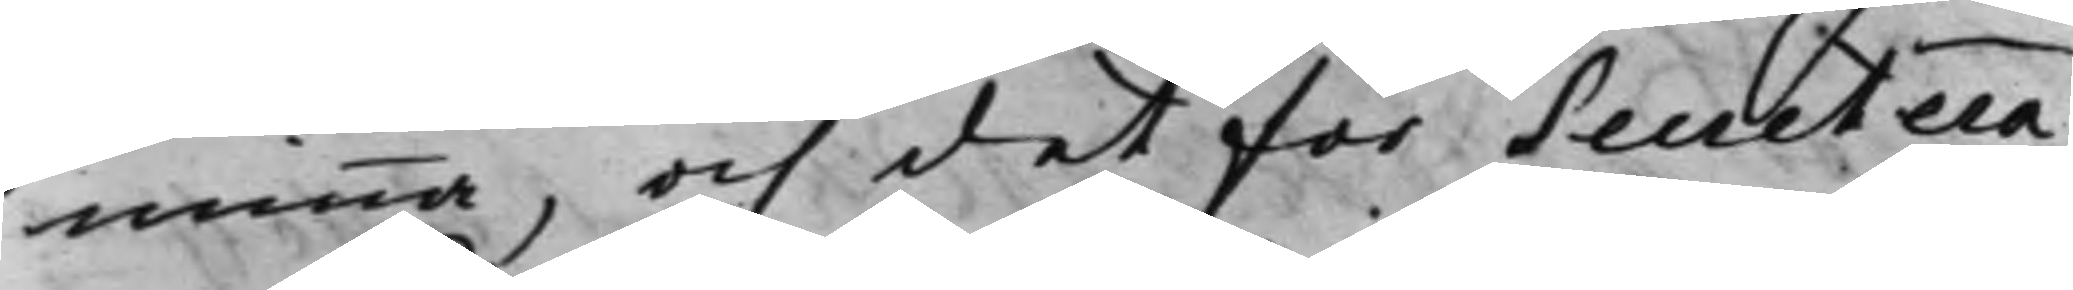minna, och det för Secretera¬
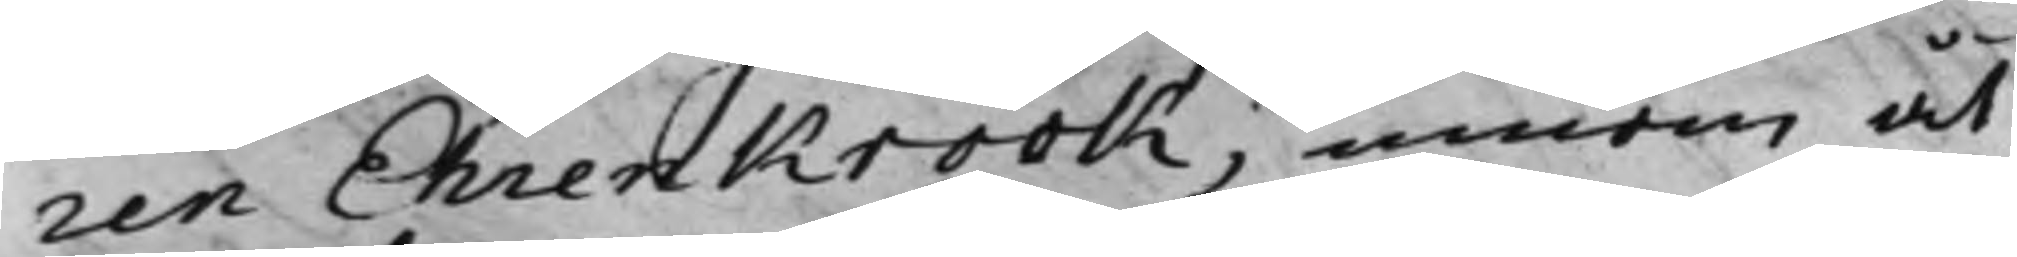ren Ehrenkrook, innom åt¬
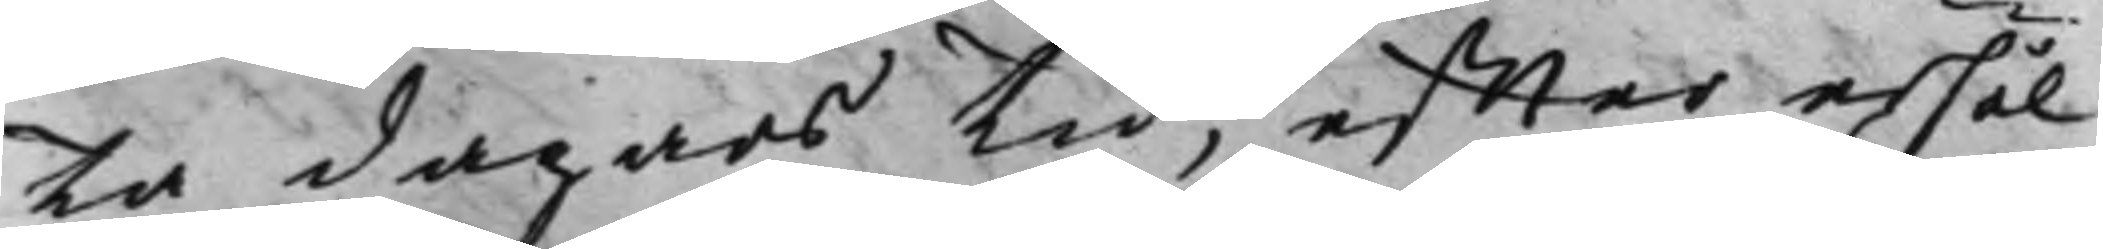ta dagars tid, effter erhål¬
